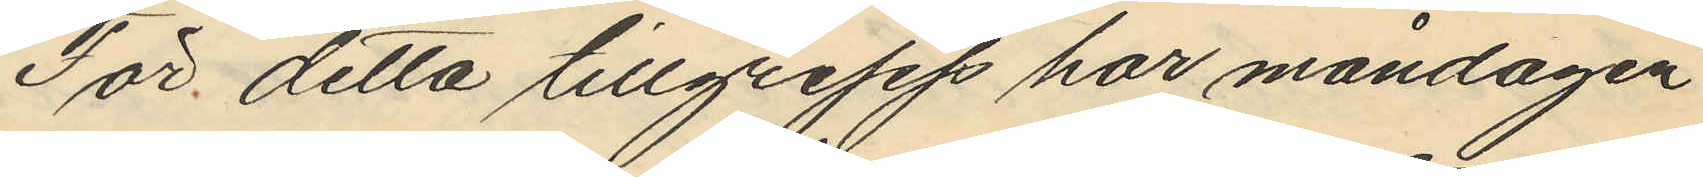För detta tillgrepp har måndagen
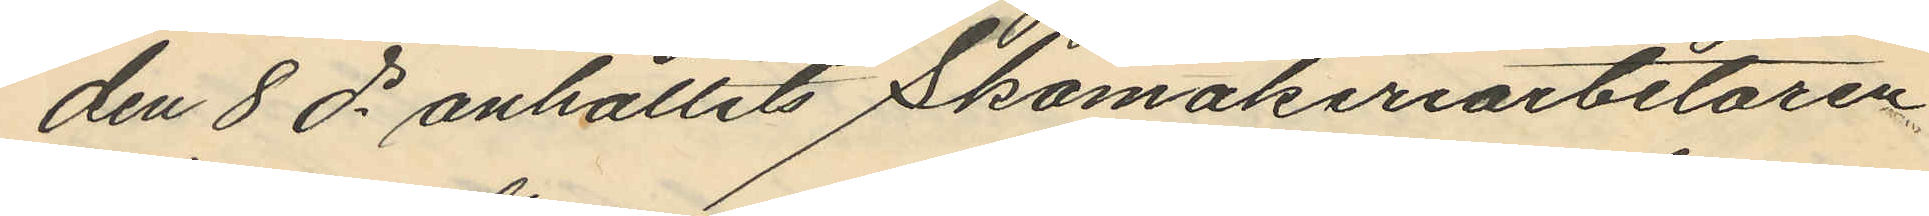den 8 ds anhållits Skomakeriarbetaren
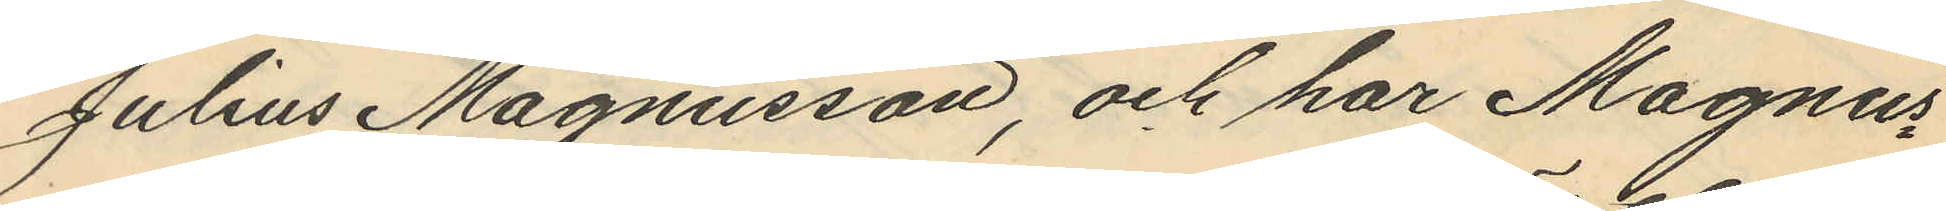Julius Magnusson, och har Magnus¬
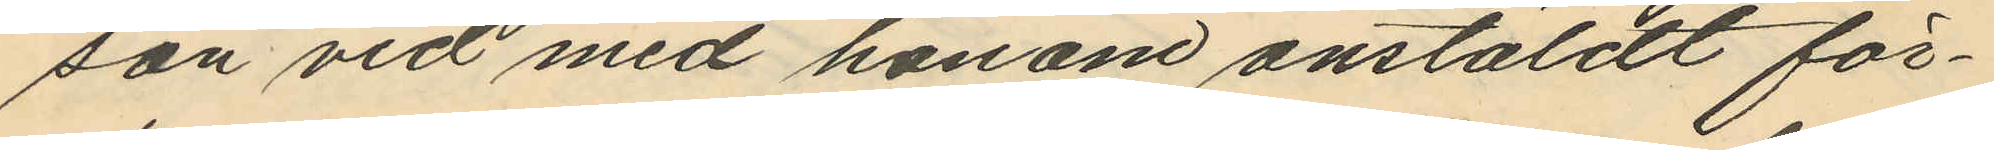son vid med honom anstäldt för¬
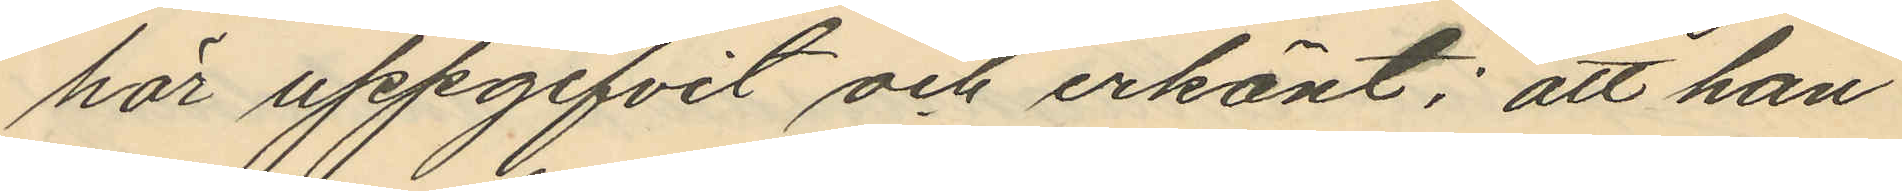hör uppgifvit och erkänt; att han
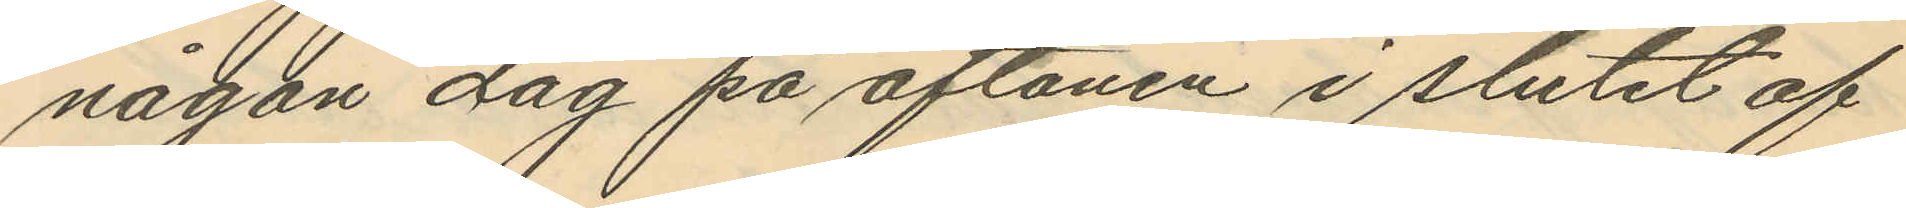någon dag på aftonen i slutet af
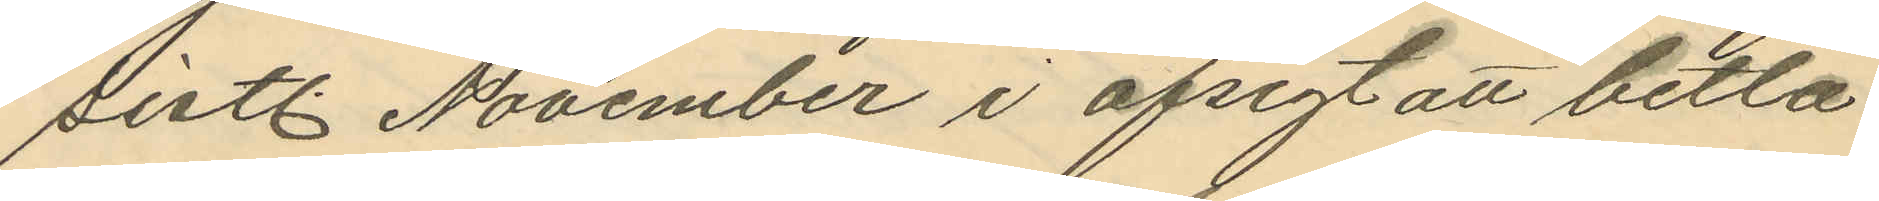sistl. November i afsigt att betla
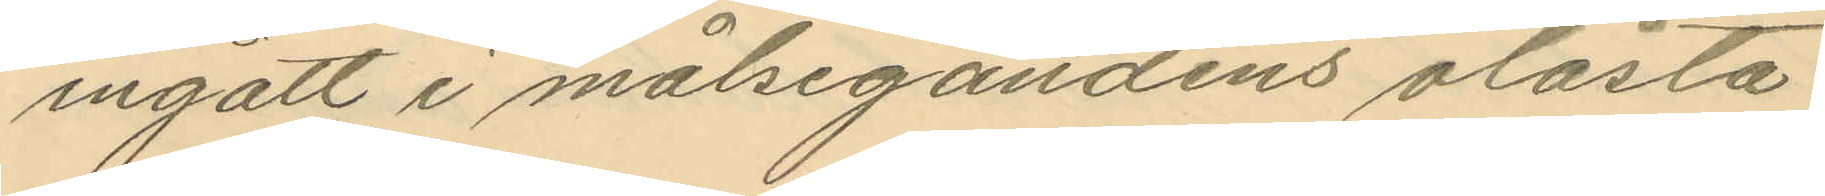ingått i målsegandens olåsta
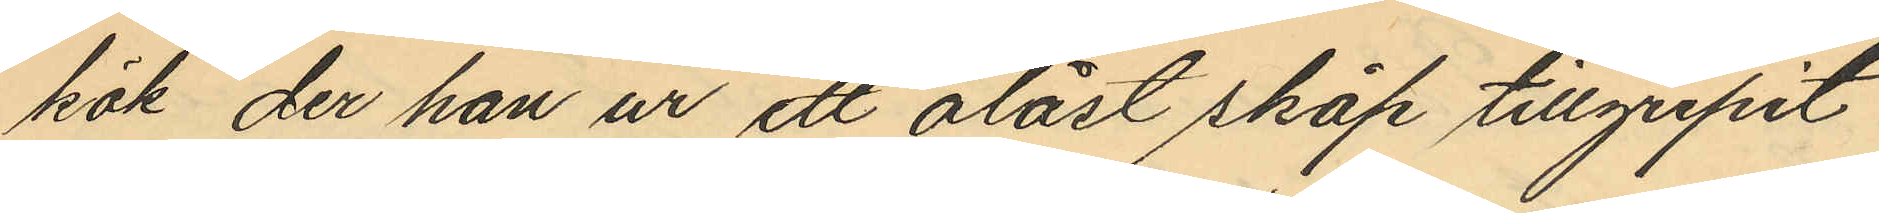kök, der han ur ett olåst skåp tillgripit
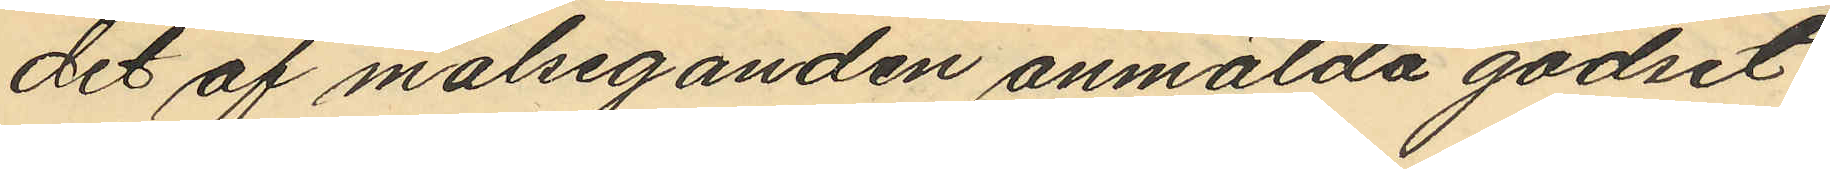det af målseganden anmälda godset
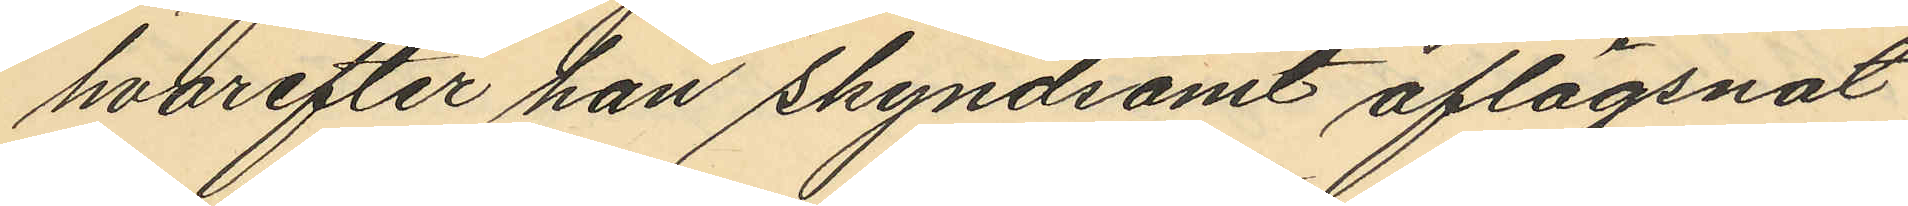hvarefter han skyndsamt aflägsnat
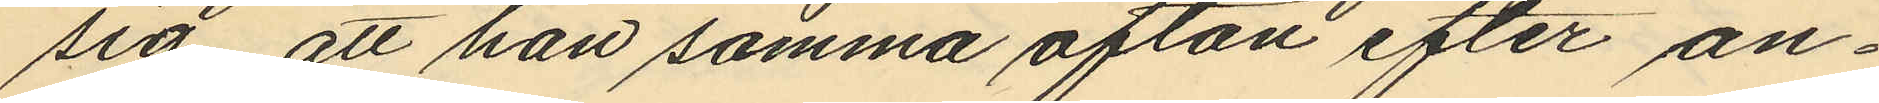sig att han samma afton efter an¬
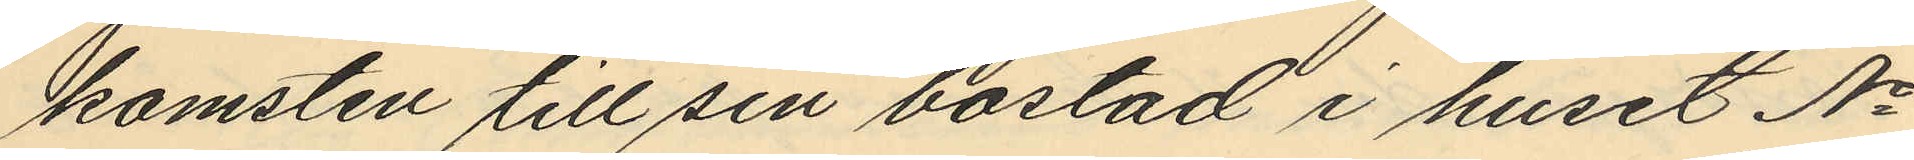komsten till sin bostad i huset No
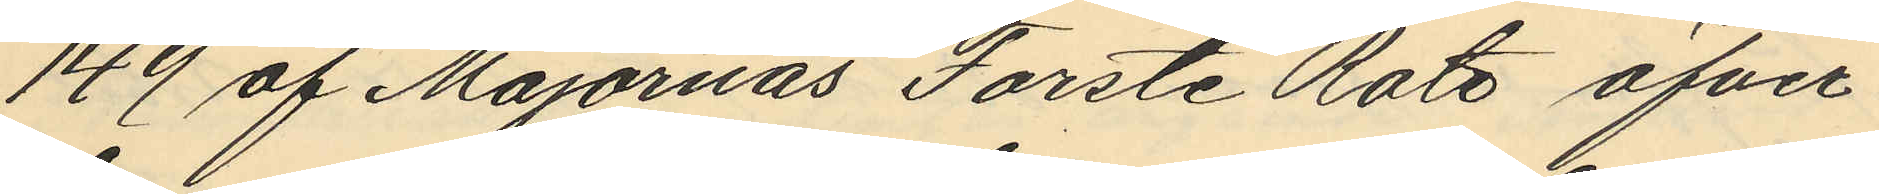149 af Majornas Forste Rote öfver¬
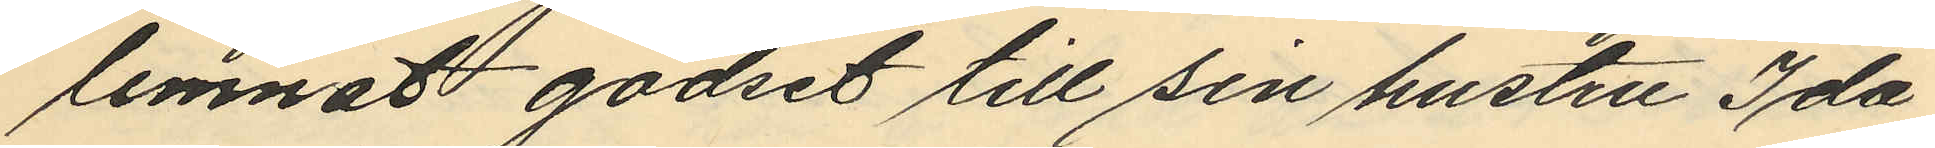lemnat godset till sin hustru Ida
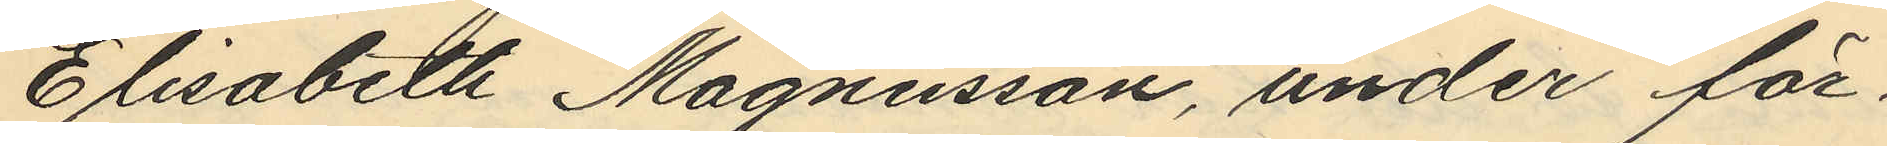Elisabeth Magnusson, under för¬
